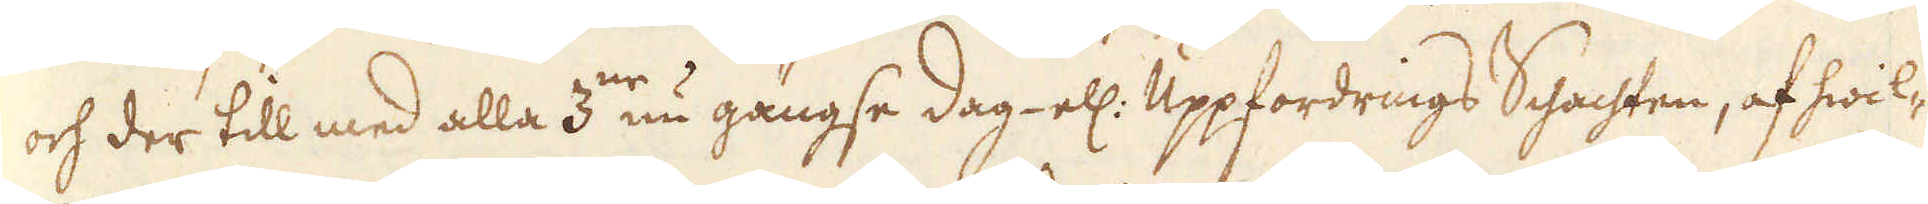och der till med alla 3:ne nu gängse dag- ell: Uppfordrings Schachten, af hwil-
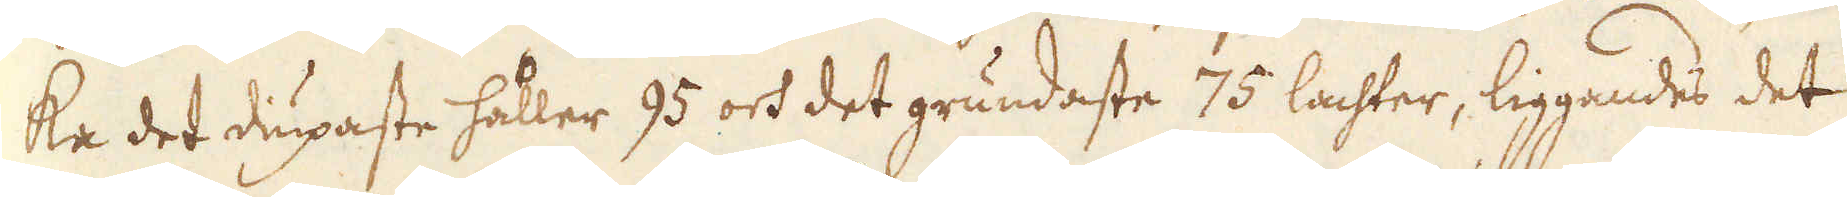ka det diupaste håller 95 och det grundaste 75 lachter, liggandes det
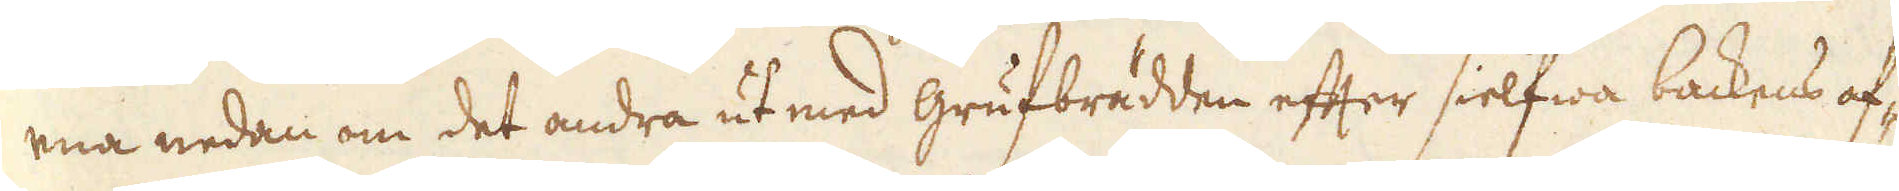ena nedan om det andra ut med grufbrädden efter sielfwa backens af-
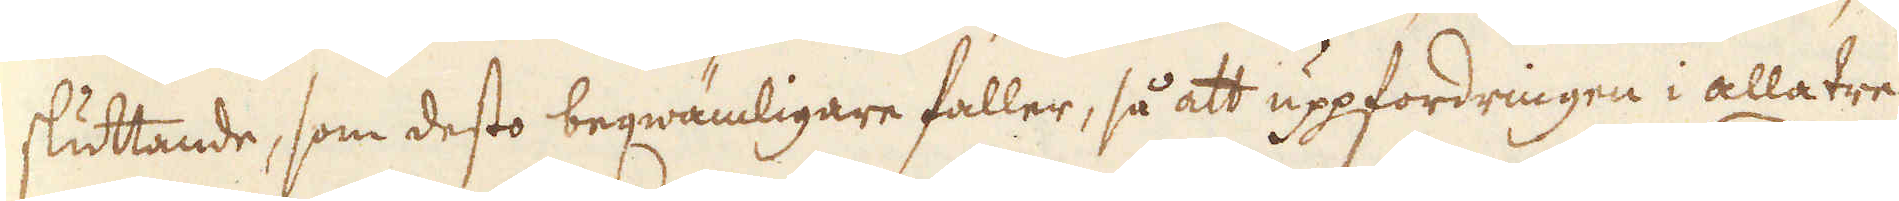sluttande, som desto beqwämligare faller, så att uppfordringen i alla tre
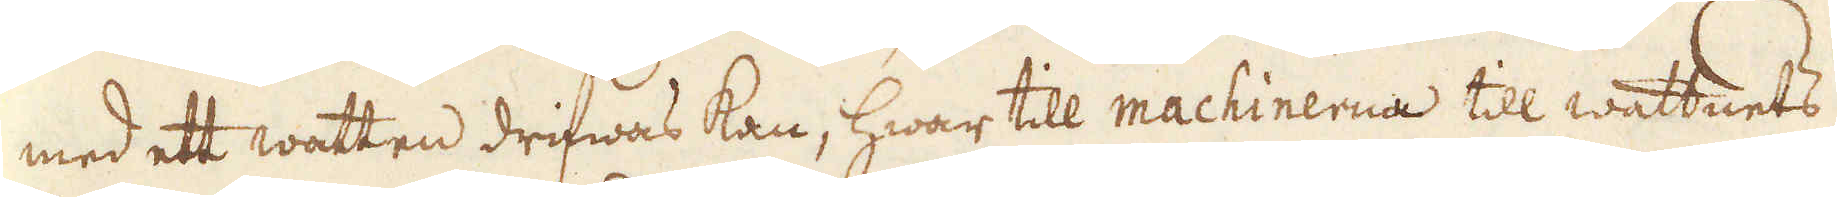med ett watten drifwas kan, hwar till machinerna till wattnets
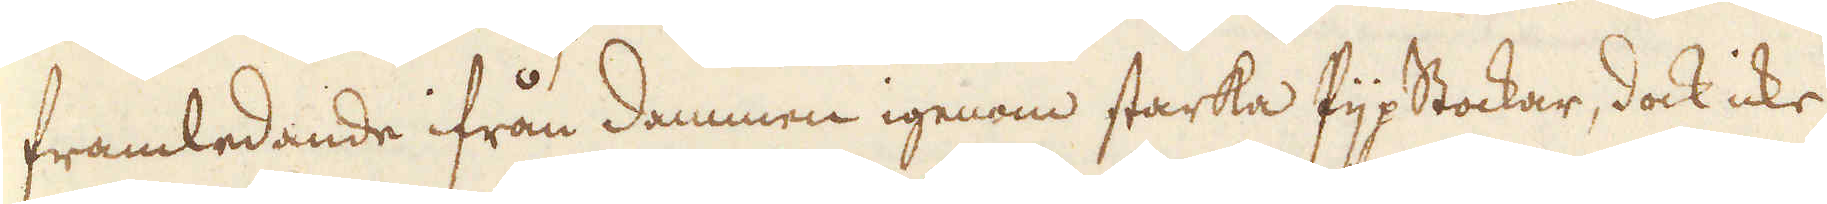framledande ifrån dammen igenom starka Pijpstockar, dock icke
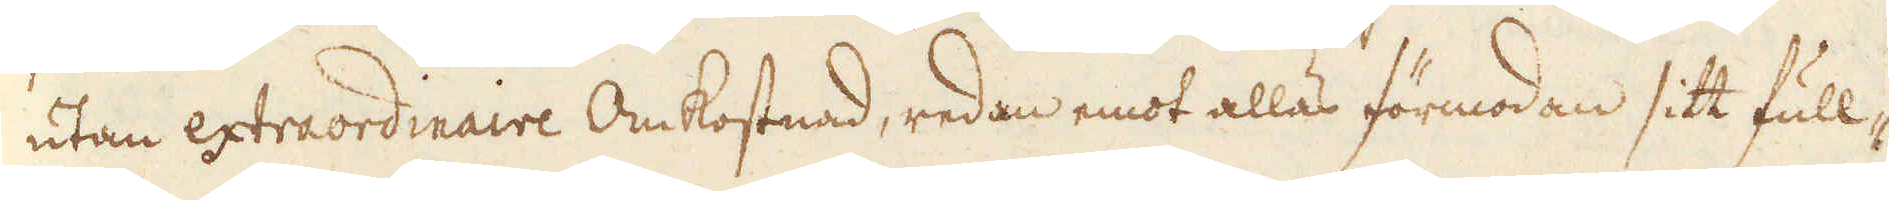utan extraordinaire Omkostnad, redan emot allas förmodan sitt full-
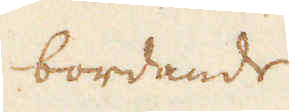bordande
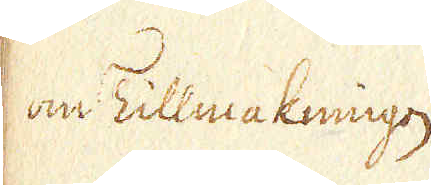om Tillmakningen
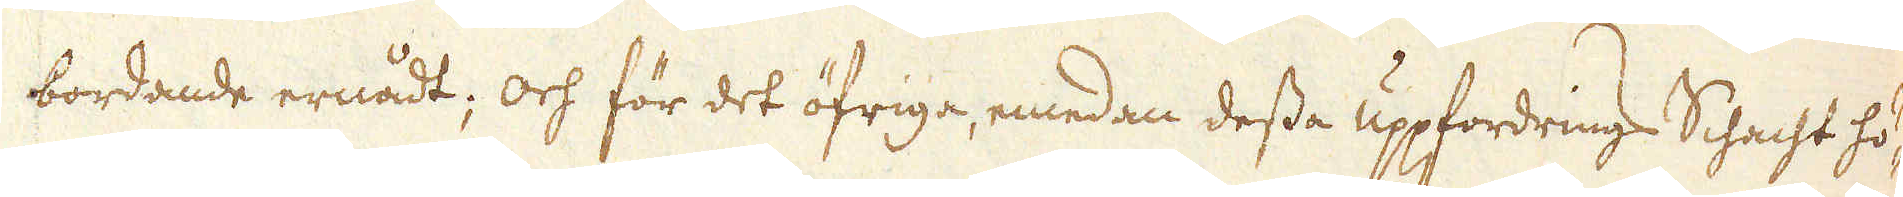bordande ernådt; och för det öfriga, emedan dessa uppfordrings Schacht hö-
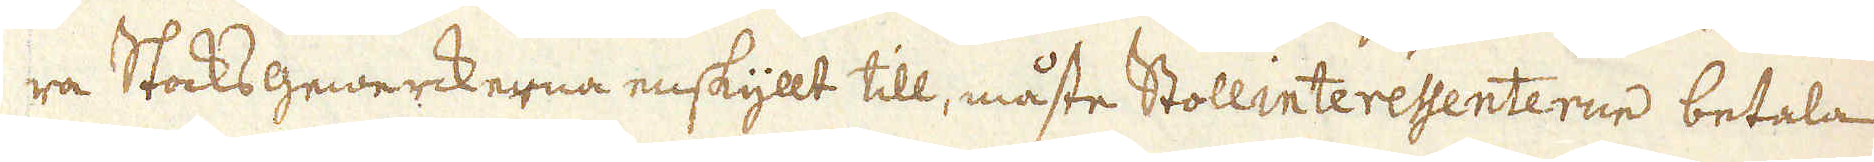ra Stocksgewerckerna enskyllt till, måste Stollinteressenterne betala
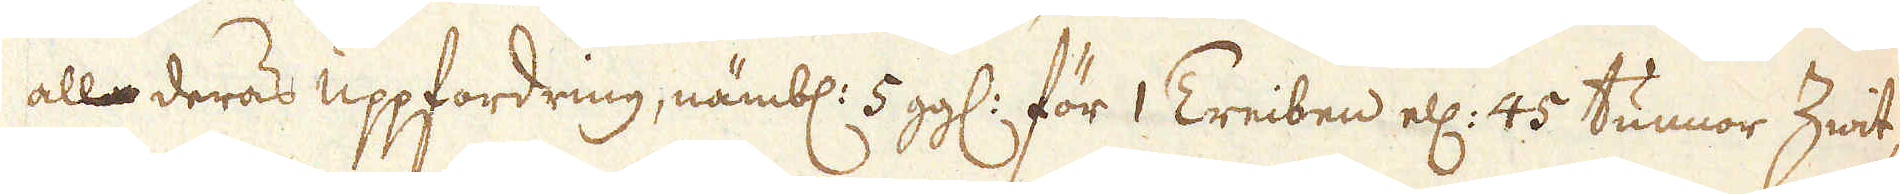alla deras uppfordring, nämbl: 5 gg: för 1 Treiben ell: 45 tunnor Zwit-
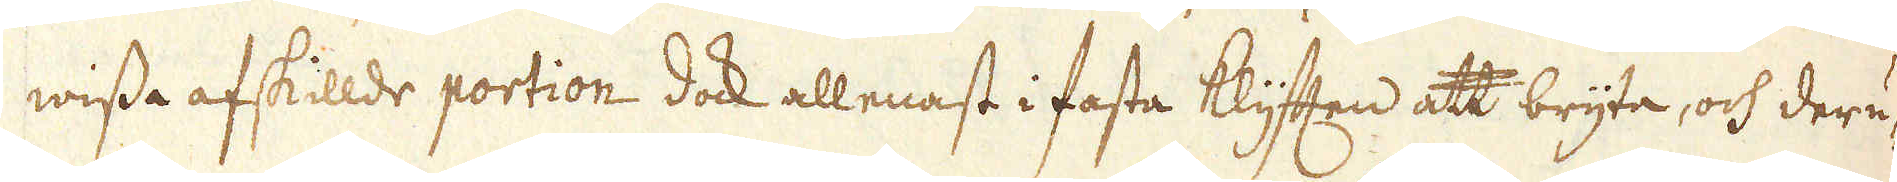wissa afskillde portion dock allenast i fasta klyften att bryta, och deru-
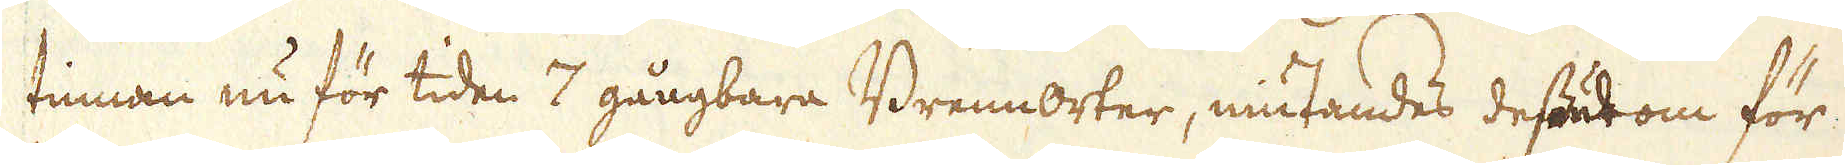tinnan nu för tiden 7 gångbara Brennorter, niutandes dessutom för
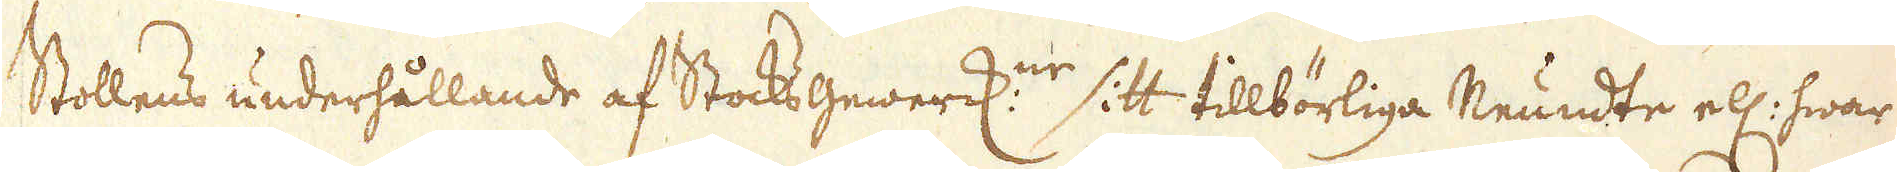Stollens underhållande af Stocks Gewerk:n sitt tillbörliga Neundte ell: hwar
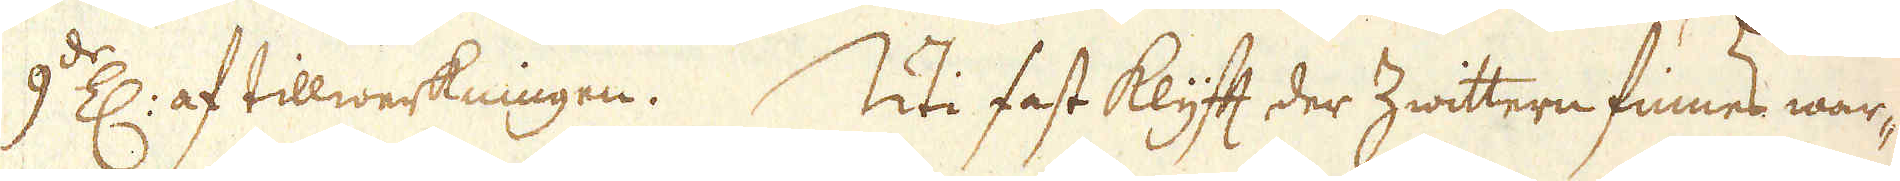9:de Z: af tillwerkningen. Uti fast klyft der Zwittern finnes war-
